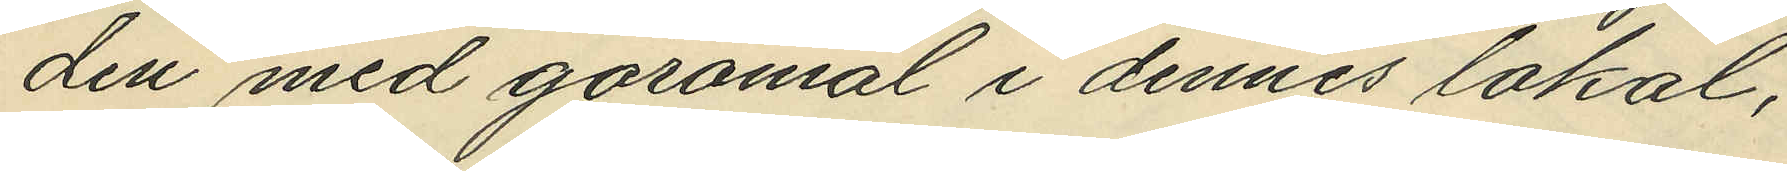den med göromål i dennes lokat;
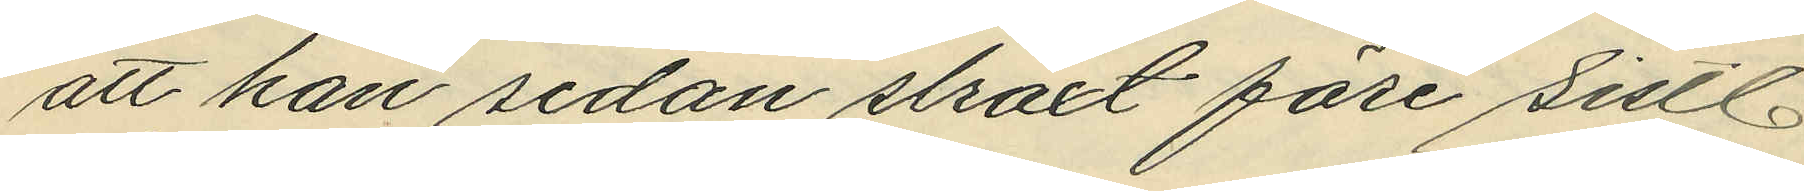att han sedan straxt före sist.
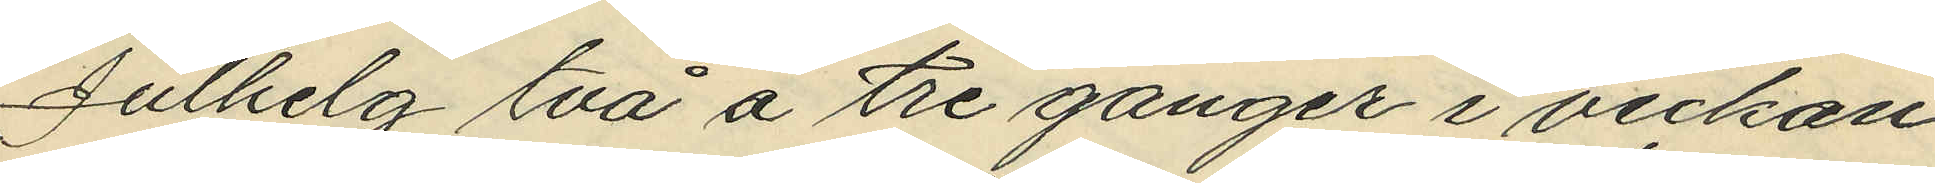Julhelg två á tre gånger i veckan
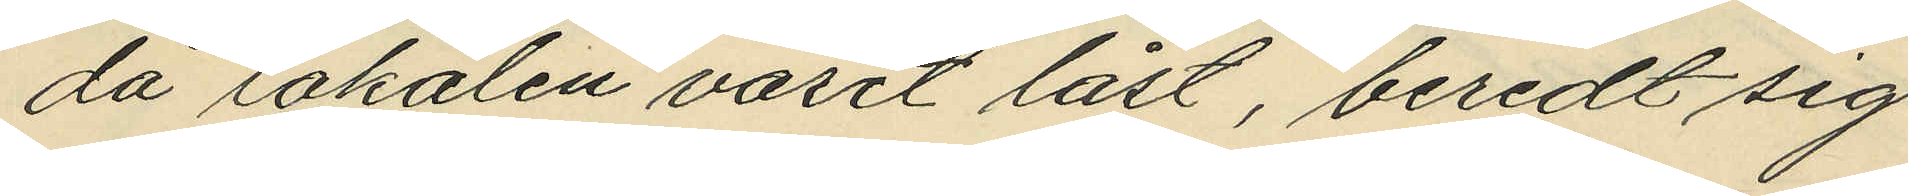då lokalen varit låst, beredt sig
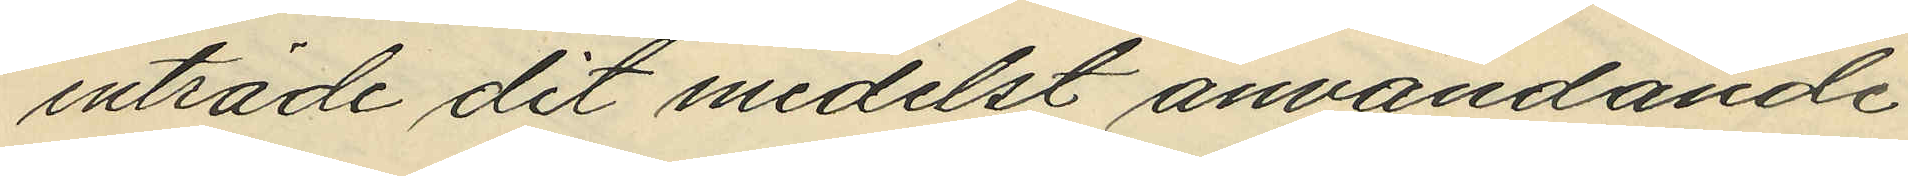inträde dit medelst användande
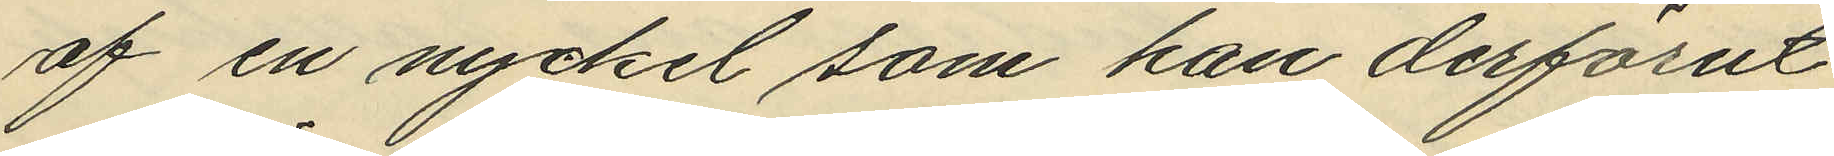af en nycket som han derförut
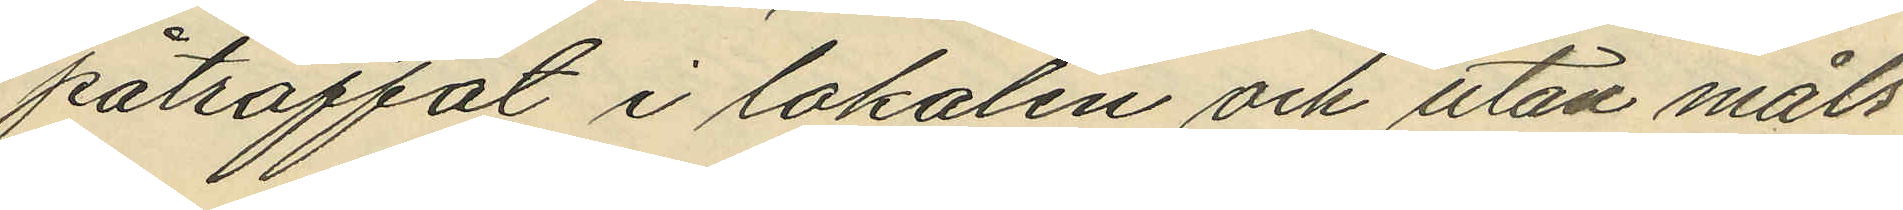påträffat i lokalen och utan måls¬
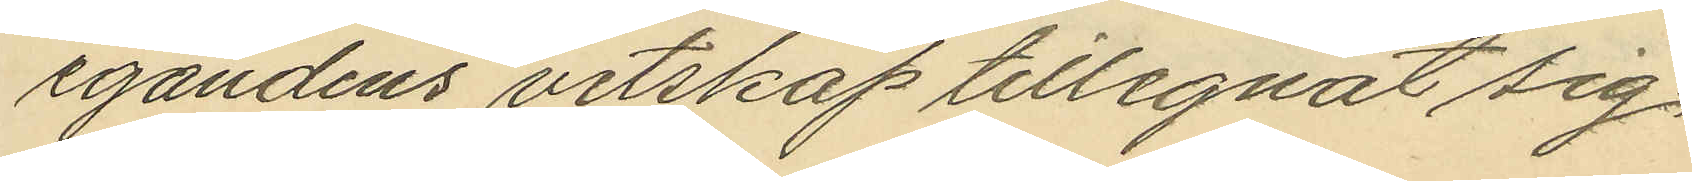egandens vetskap tillegnat sig;
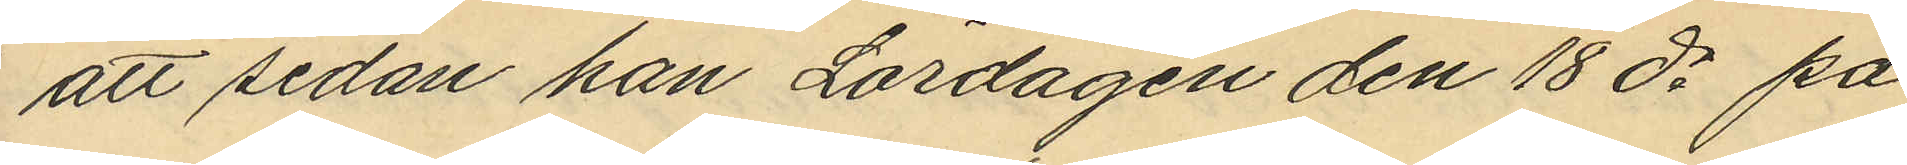att sedan han Lördagen den 18 ds på
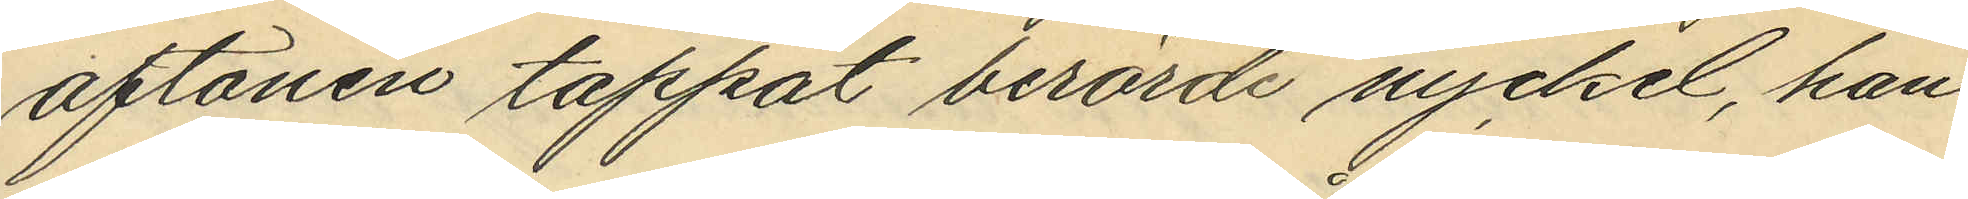aftonen tappat berörde nyckel, han
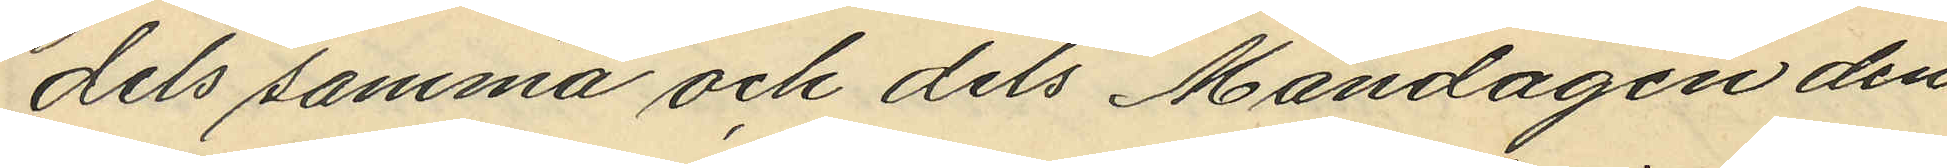dels samma och dels Måndagen den
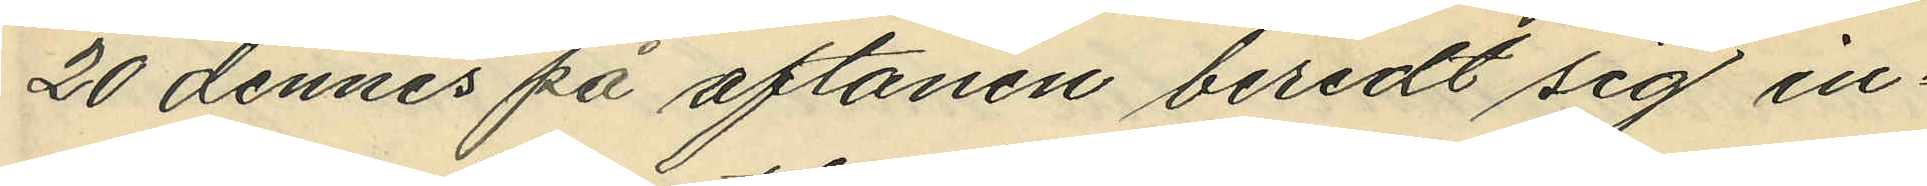20 dennes på aftonen beredt sig in¬
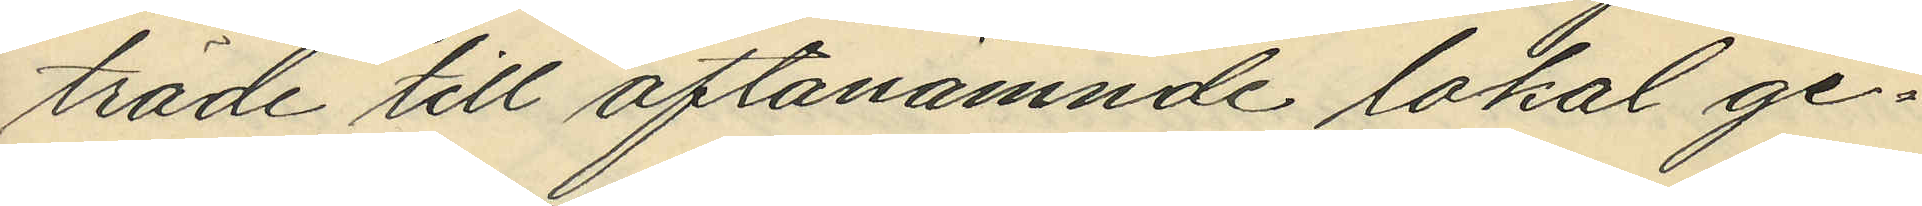träde till oftanämnde lokal ge¬
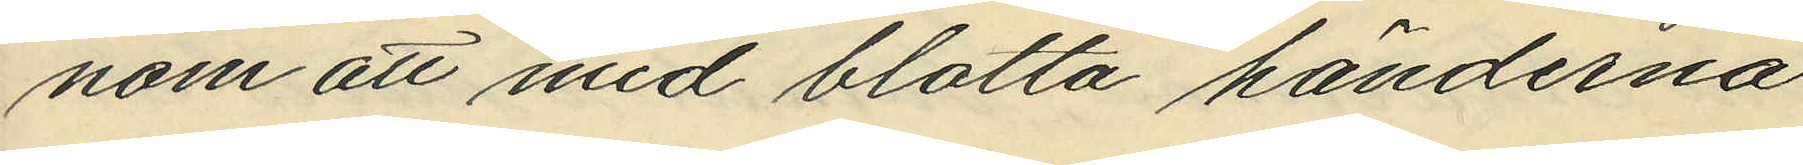nom att med blotta händerna
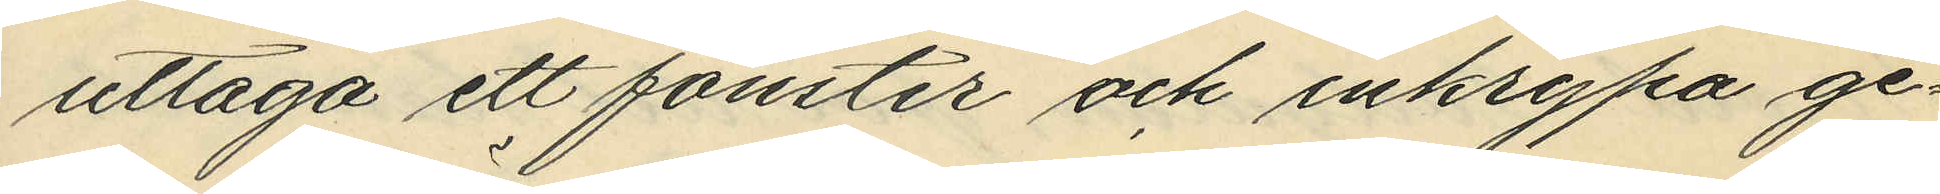uttaga ett fönster och inkrypa ge¬
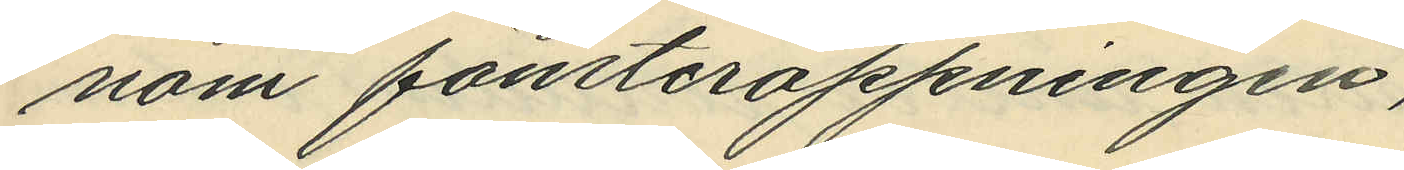nom fönsteröppningen,
